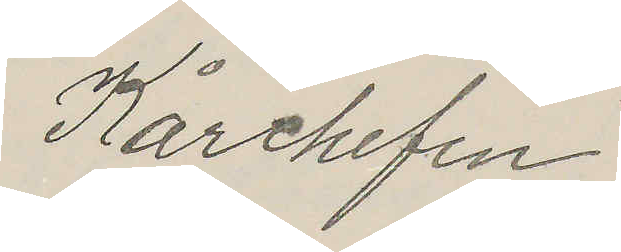Kårchefen
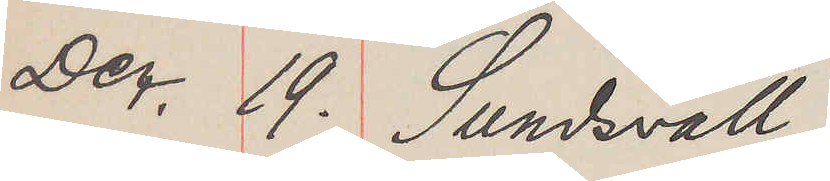Dec. 19. Sundsvall
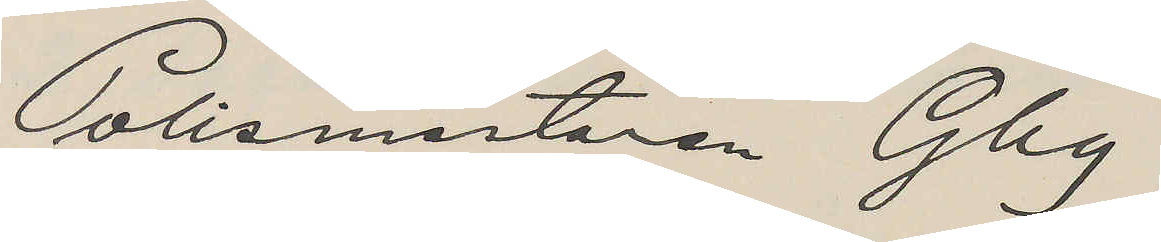Polismästaren Gbg
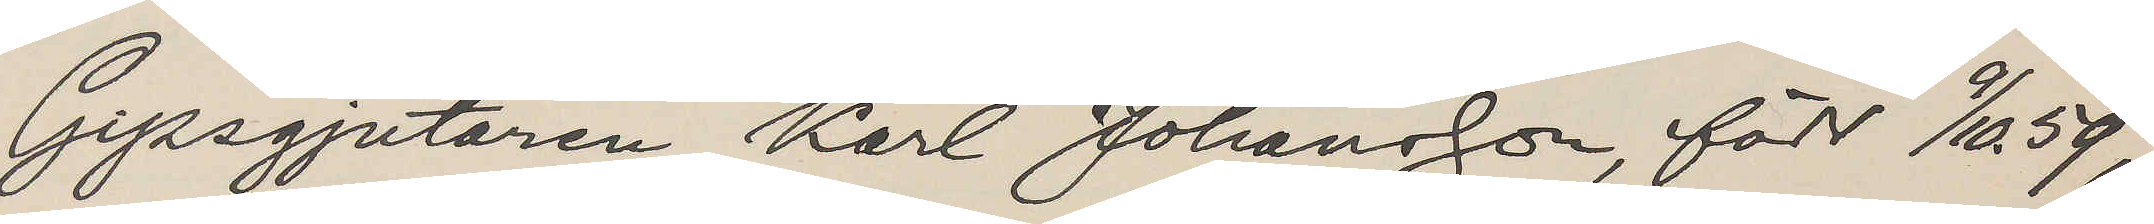Gipsgjutaren Karl Johandon, född 9/10 59,
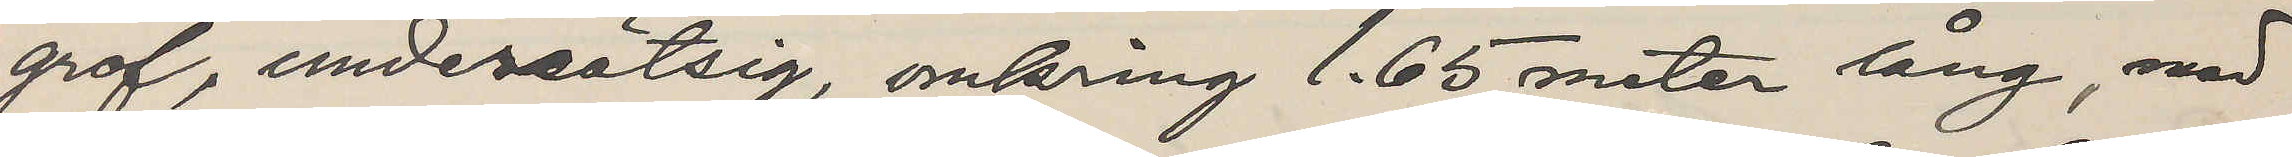grof, undersätsig, omkring 1.65 meter lång, med
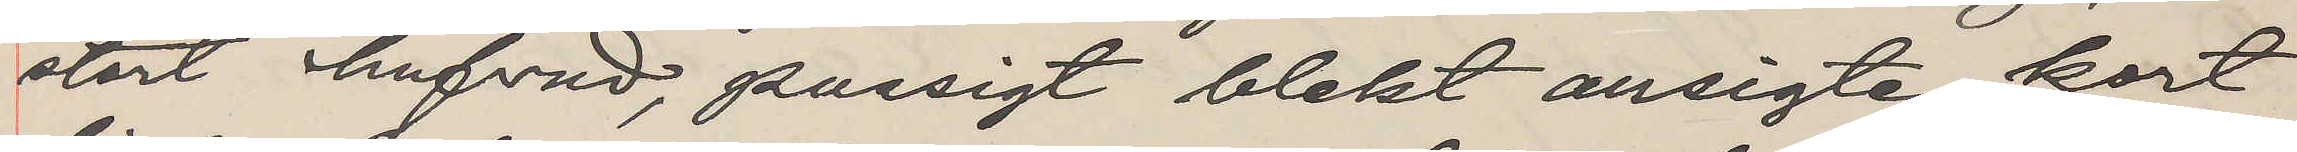stort hufvud, pussigt blekt ansigte, kort
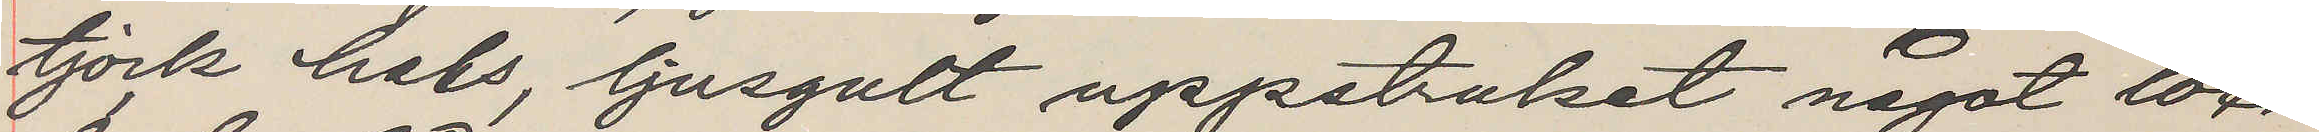tjock hals, ljusgult uppstruket något loc¬
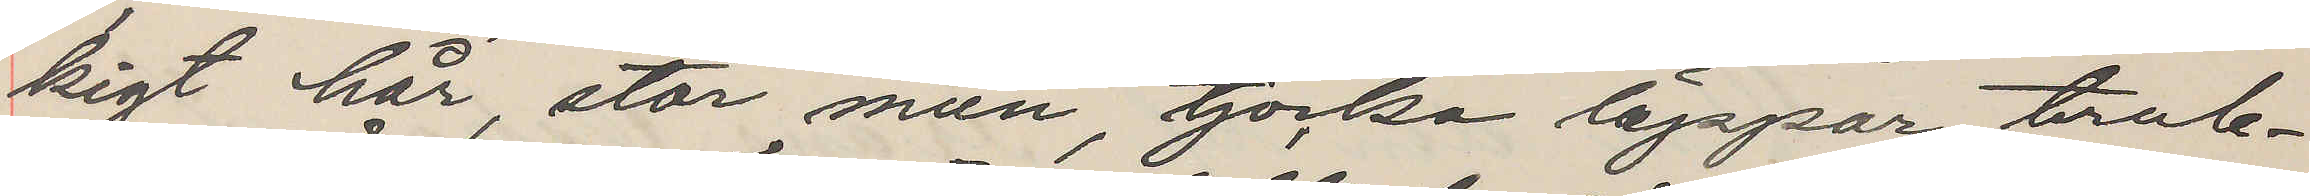kigt hår, stor mun, tjocka läppar, trub¬
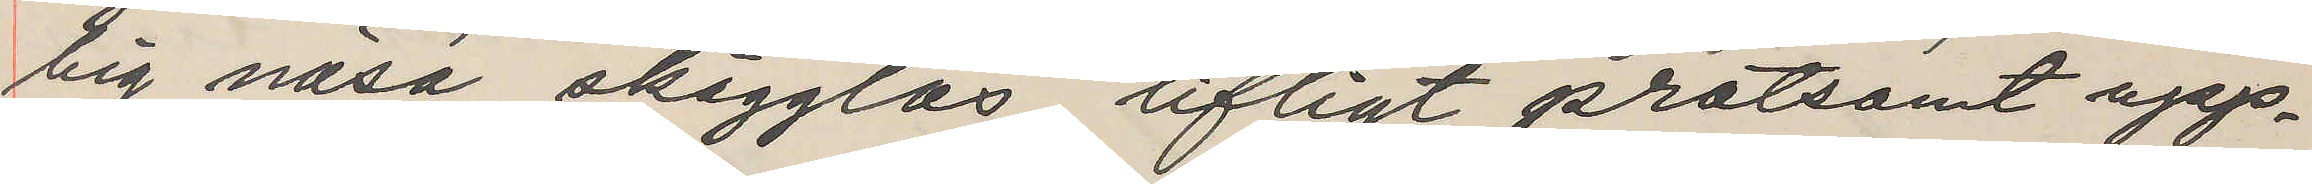big näsa, skägglös, lifligt pratsamt upp¬
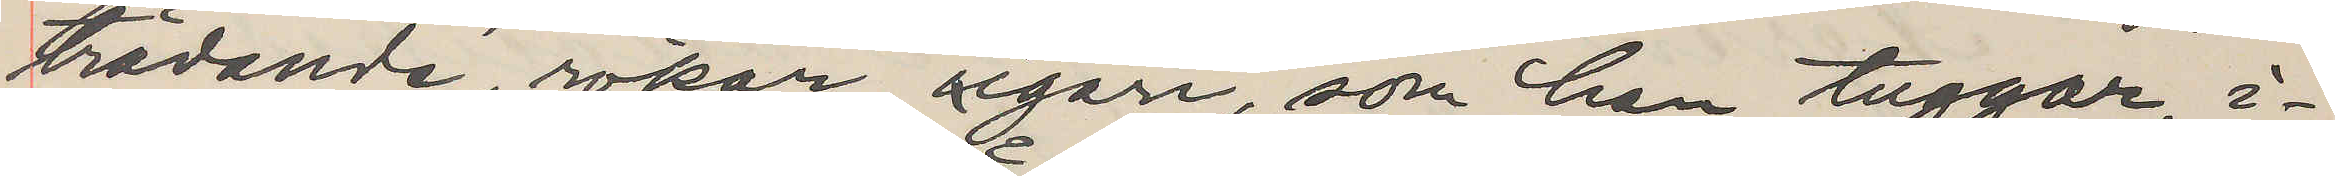trädande, röker cigarr, som han tuggar, i¬
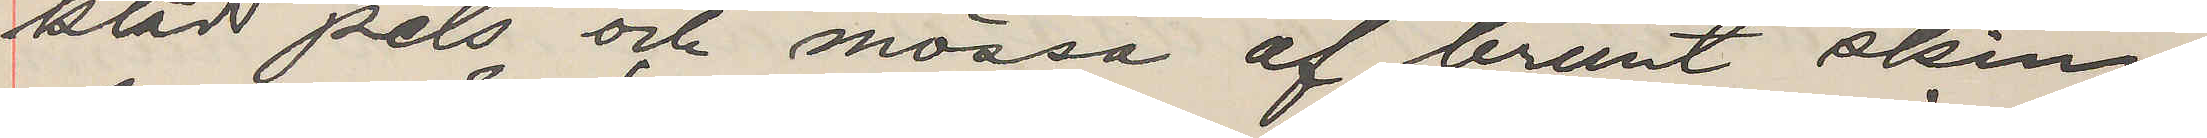klädd pels och mössa af brunt skinn
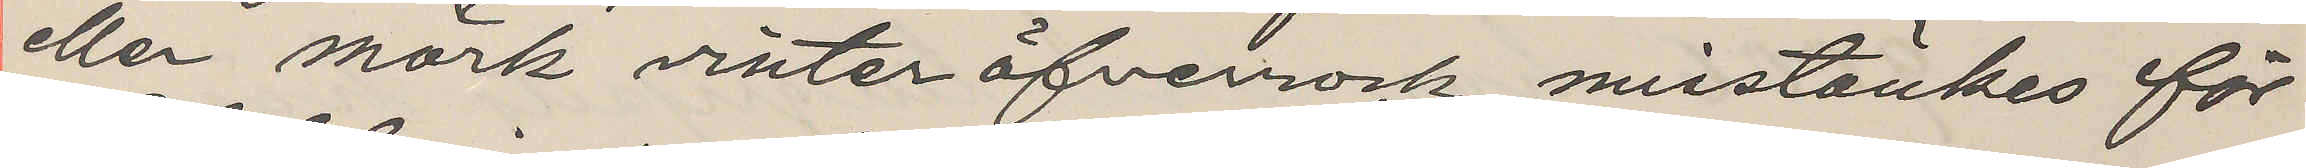eller mörk vinteröfverrock, misstänkes för
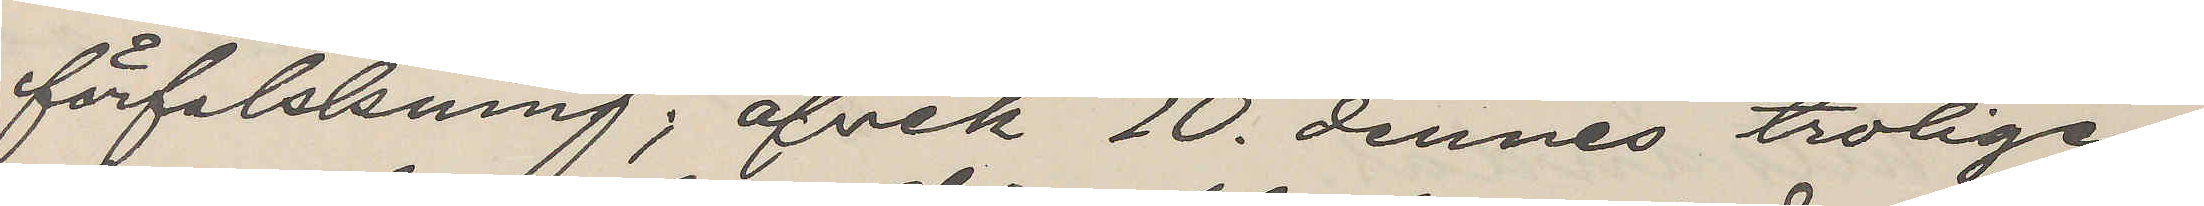förfalskning; afvek 10. dennes troligen
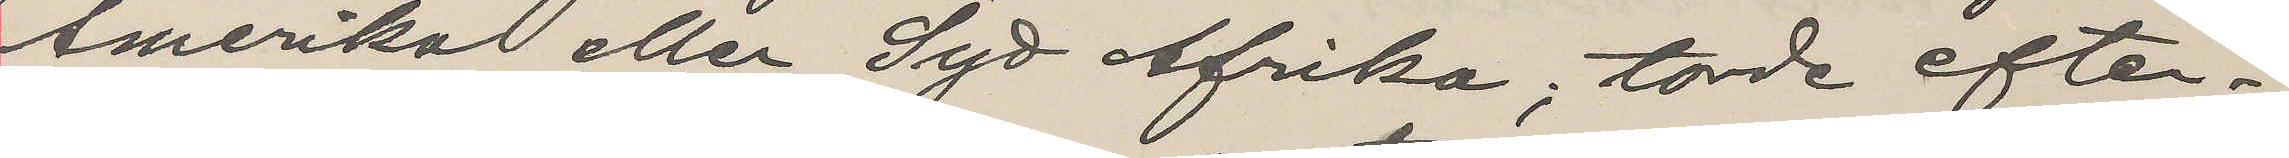Amerika eller Syd Afrika; torde efter¬
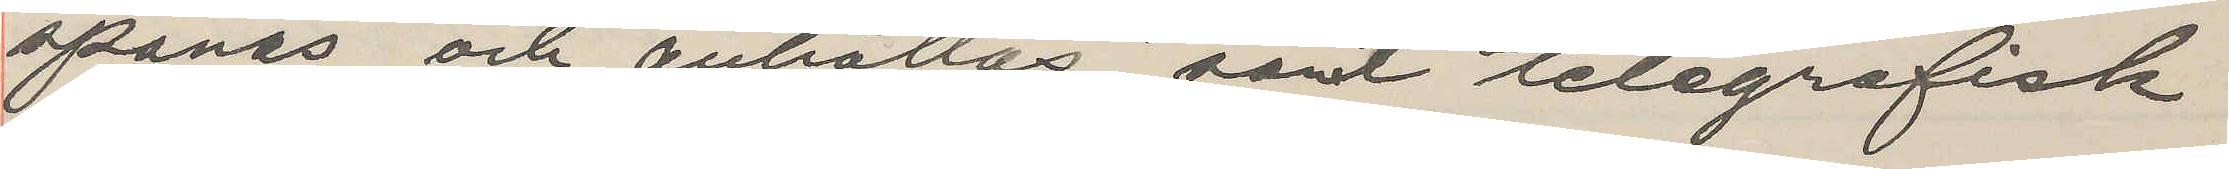spanas och anhållas samt telegrafisk
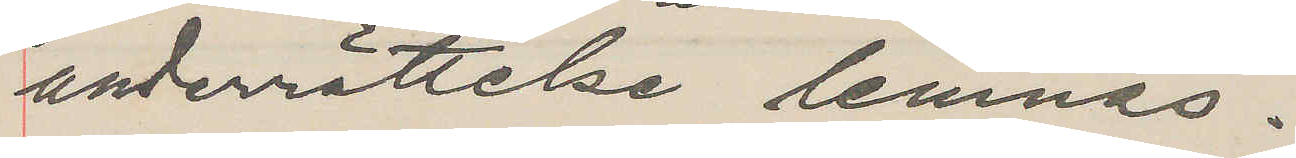underrättelse lemnas.
